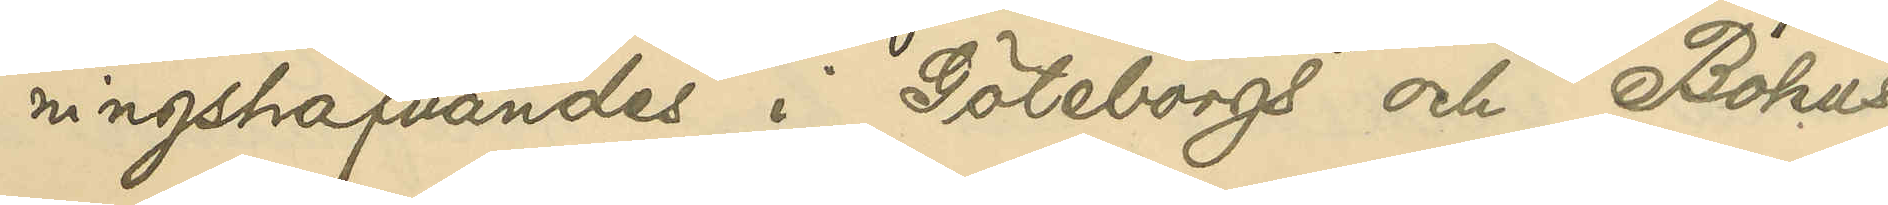ningshafvandes i Göteborgs och Bohus
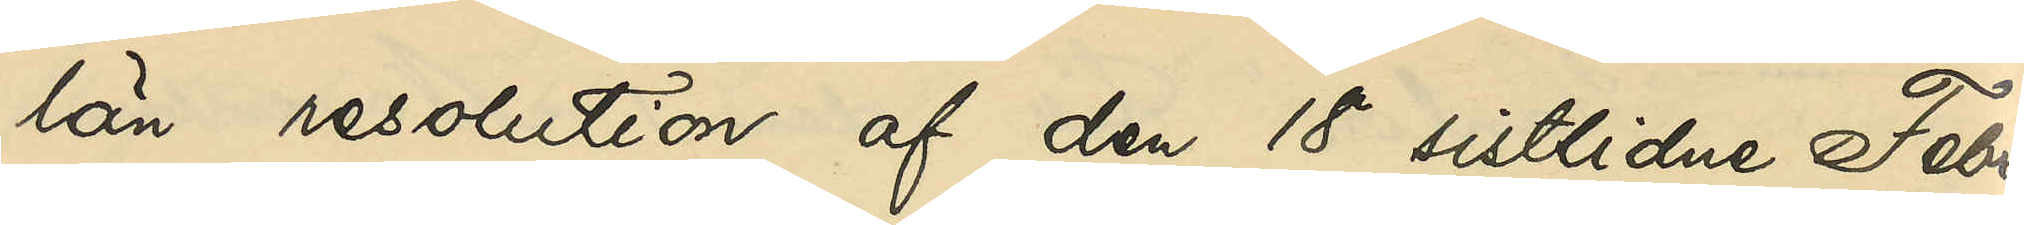län resolution af den 18 sistlidne Febru¬
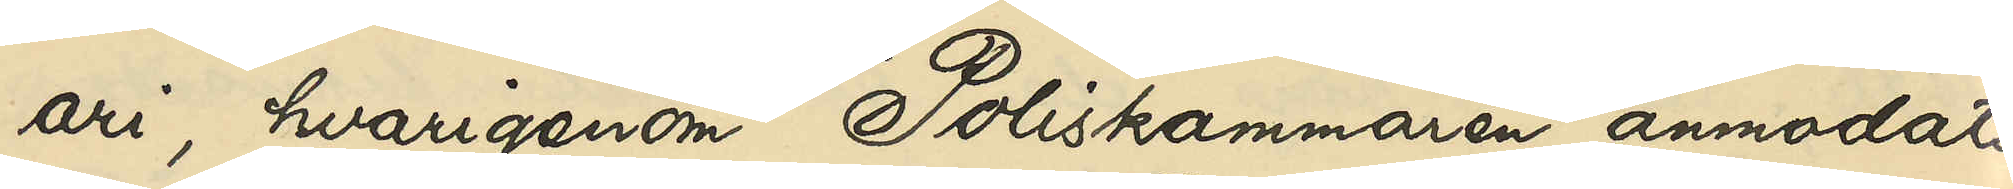ari, hvarigenom Poliskammaren anmodats
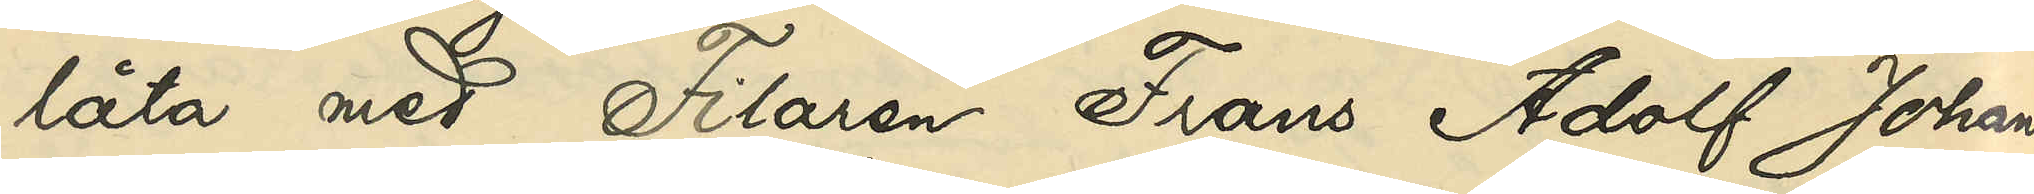låta med Filaren Frans Adolf Johans¬
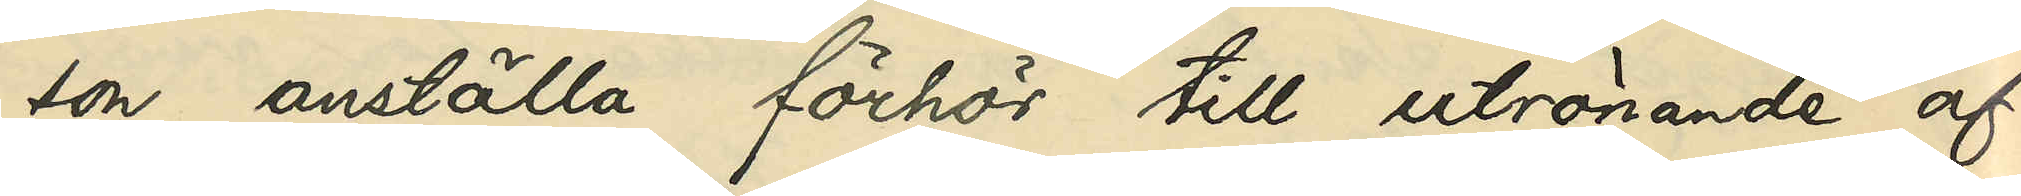son anställa förhör till utrönande af,
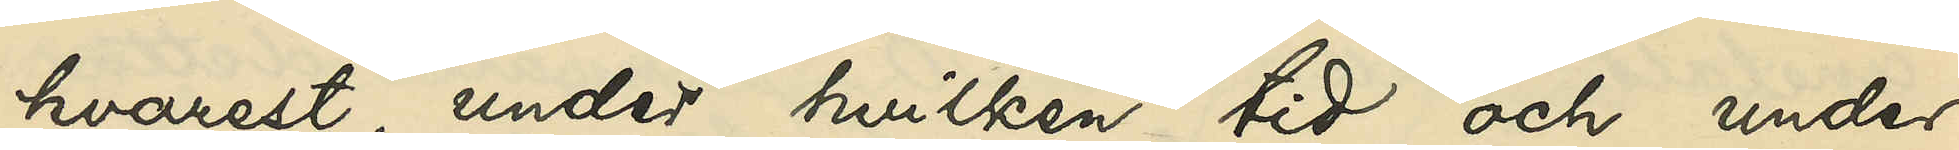hvarest, under hvilken tid och under
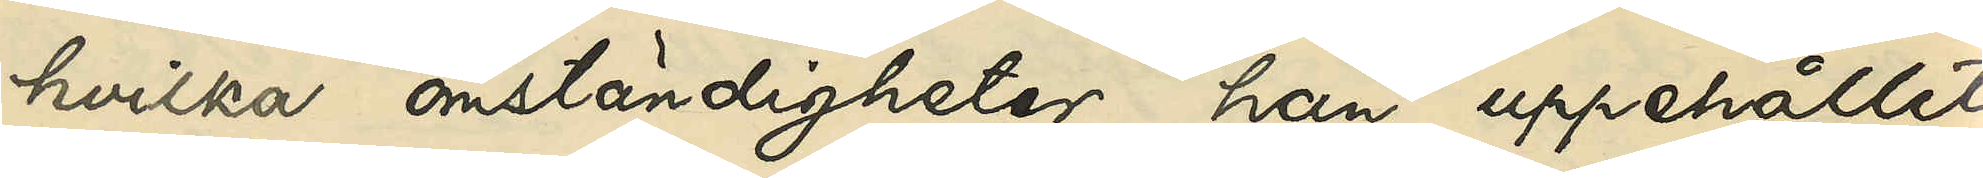hvilka omständigheter han uppehållit
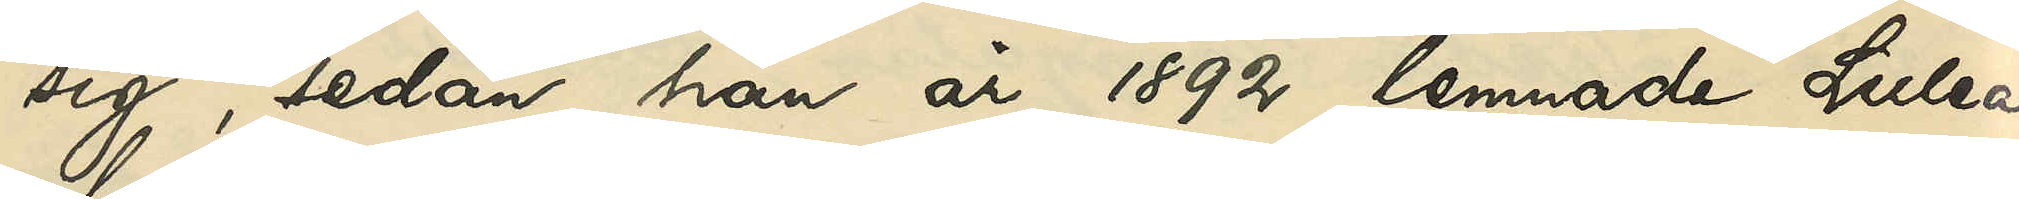sig, sedan han år 1892 lemnade Luleå,
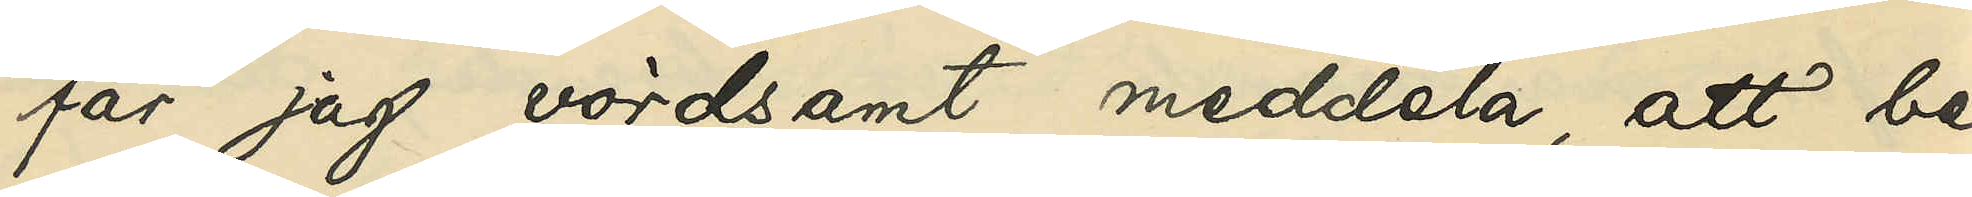får jag vördsamt meddela, att be¬
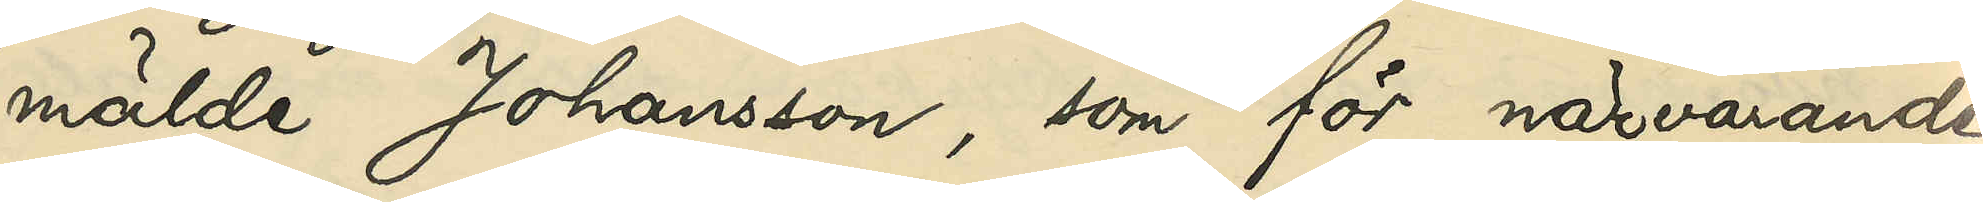mälde Johansson, som för närvarande
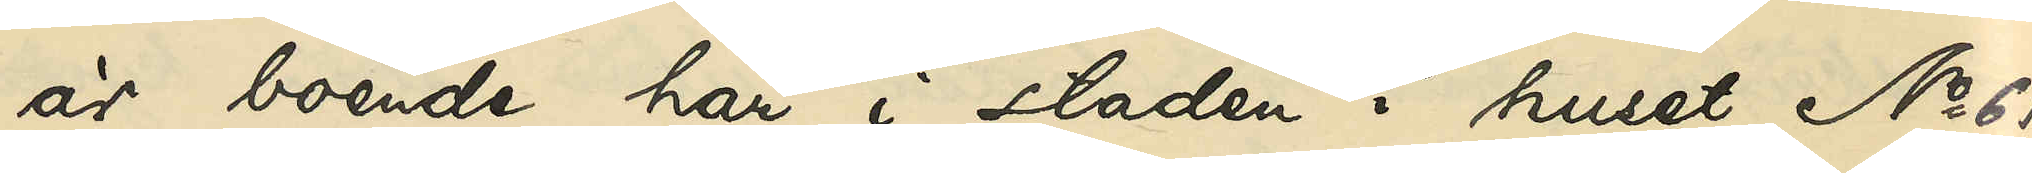är boende här i staden i huset No 61
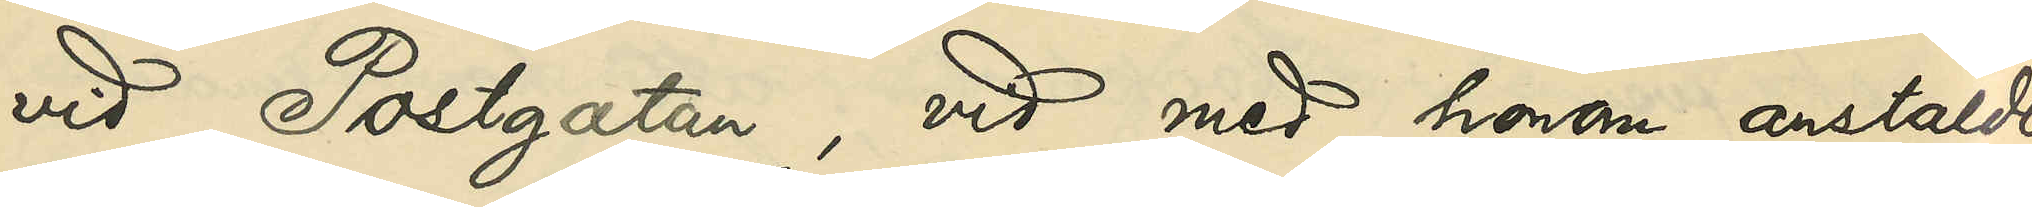vid Postgatan, vid med honom anstäldt
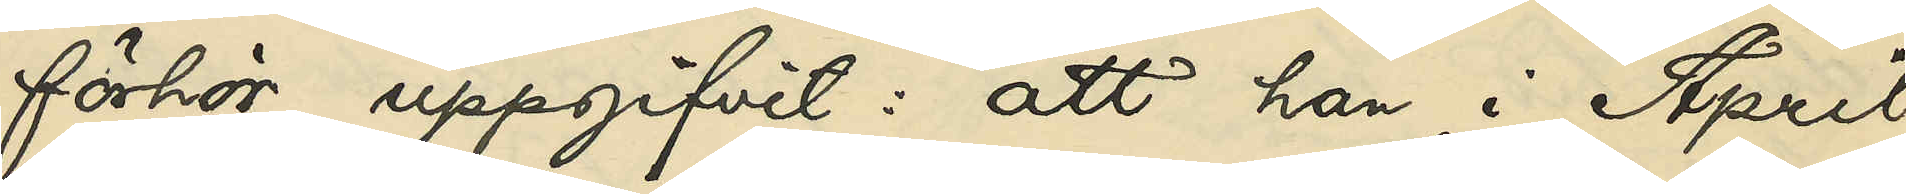förhör uppgifvit: att han i April
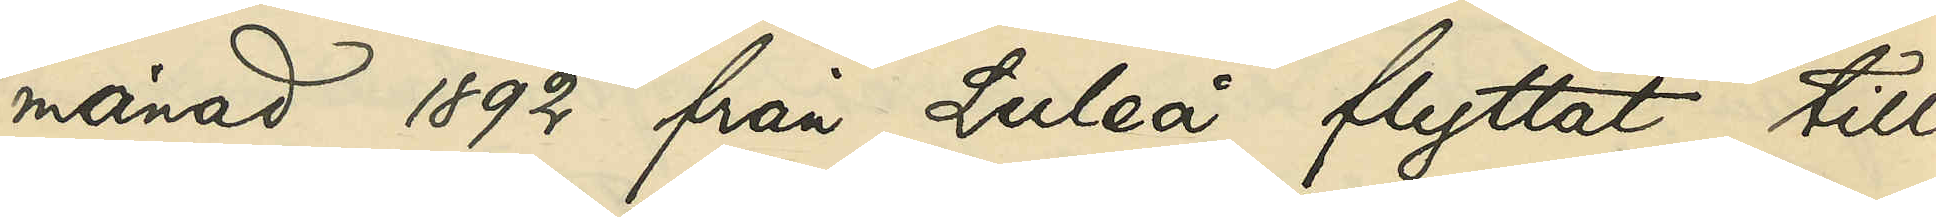månad 1892 från Luleå flyttat till
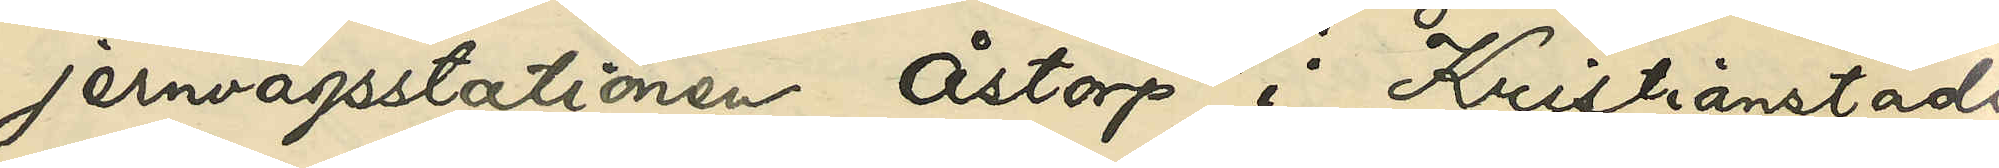jernvägsstationen Åstorp i Kristianstads
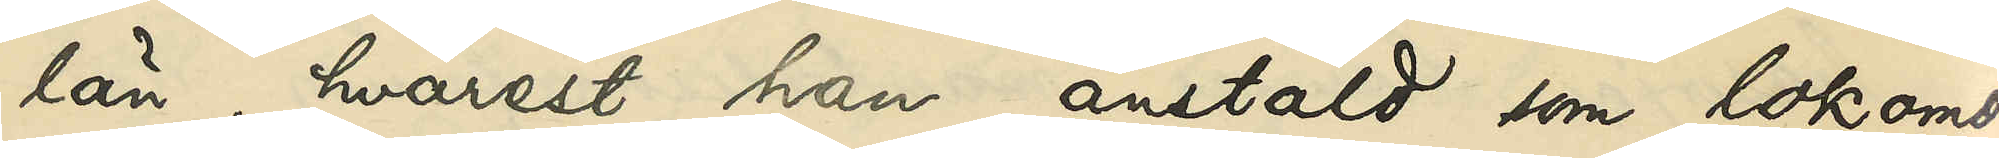län, hvarest han, anstäld som lokomo¬
